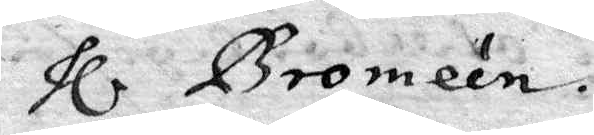Hl Bromeén.
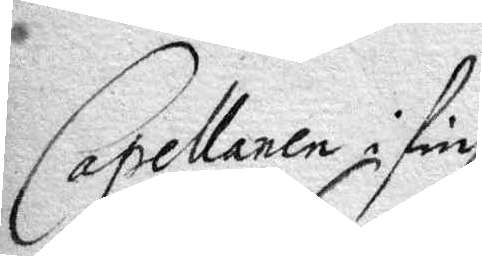Capellanen i Fin¬
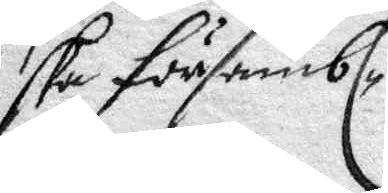ska Församb¬
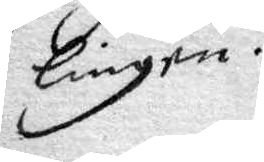lingen.
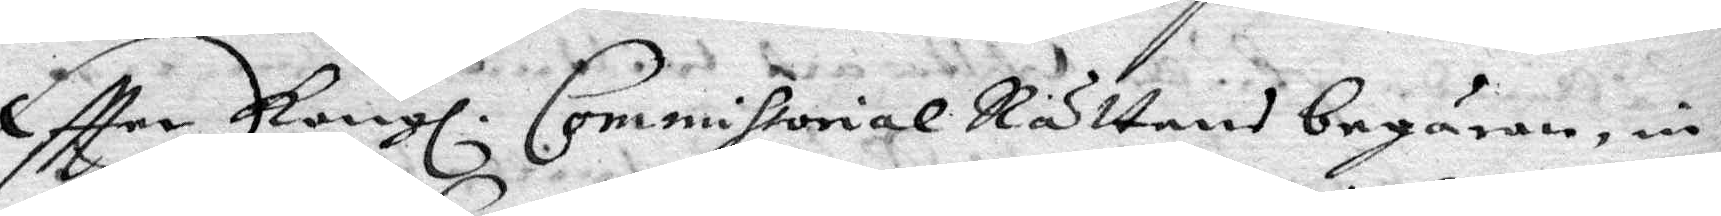Eftter Kongl. Commissorial Rättens begäran, in¬
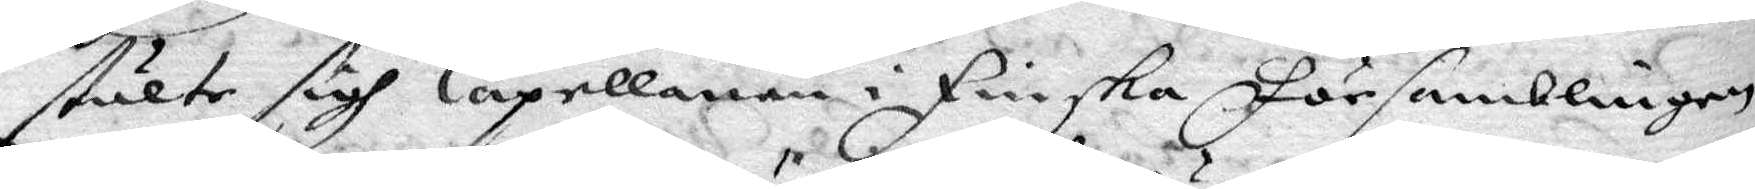stälte sigh Capellanen i Finska Församblingen
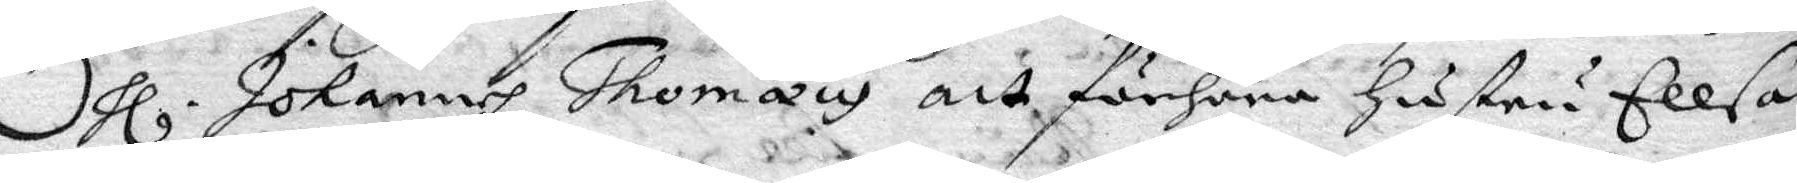Hl Johannes Thomaus att förhöra hustru Ellsa
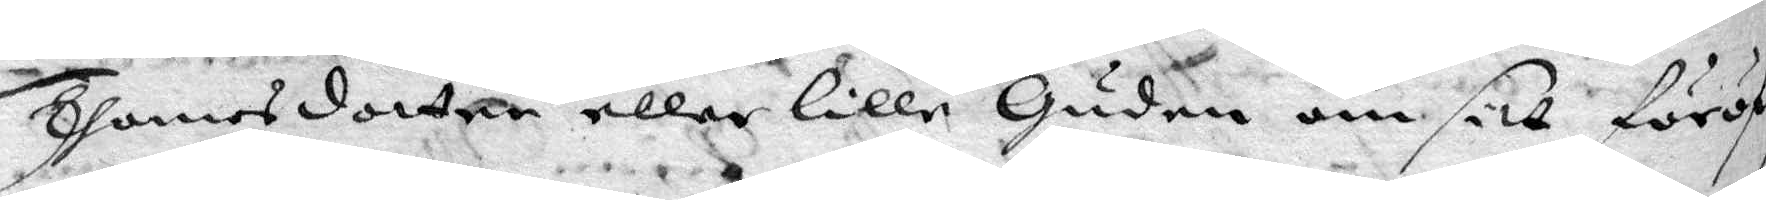Thomasdotter eller lille Guden om sitt föröf¬
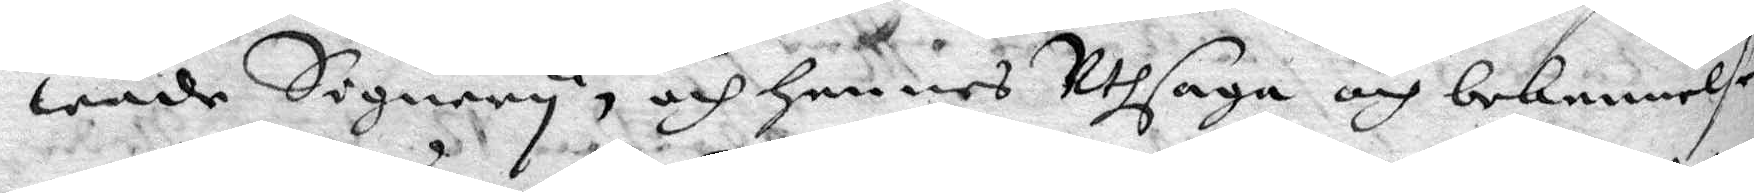wande Signery, och hennes Uthsaga och bekennelse
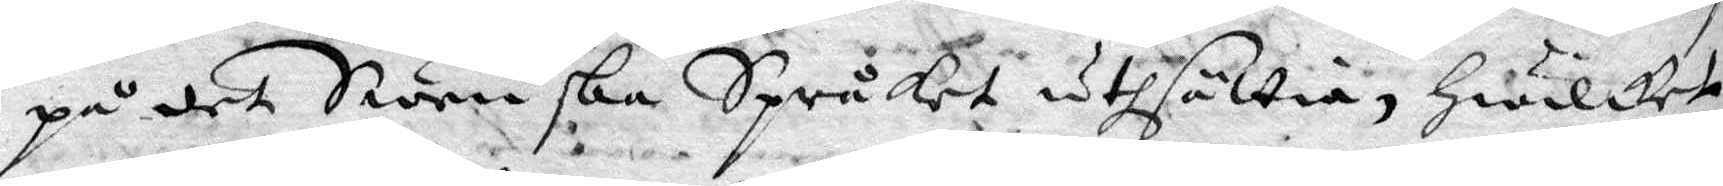på det Swenska Språket uthsättia, hwilcket
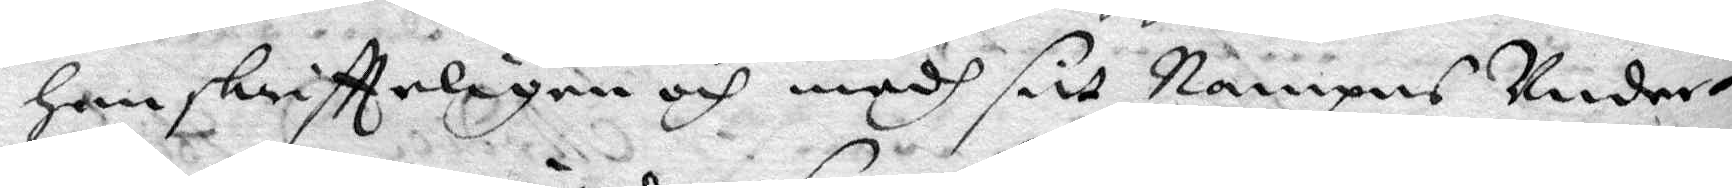hon skriftteligen och medh sitt Namnpns Under¬
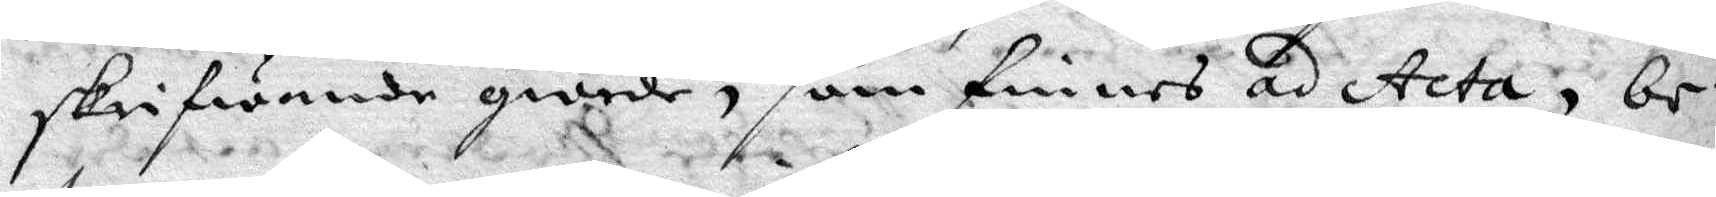skrifwande giorde, som finnes ad Acta, be¬
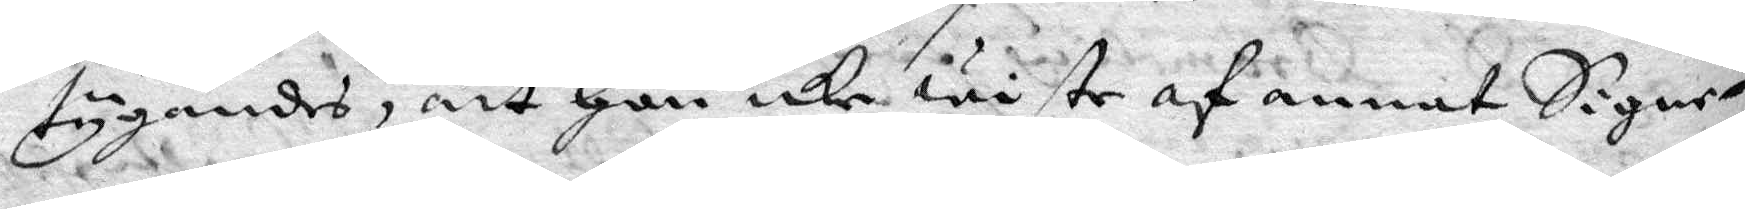tygandes, att hon icke wiste af annat Signe¬
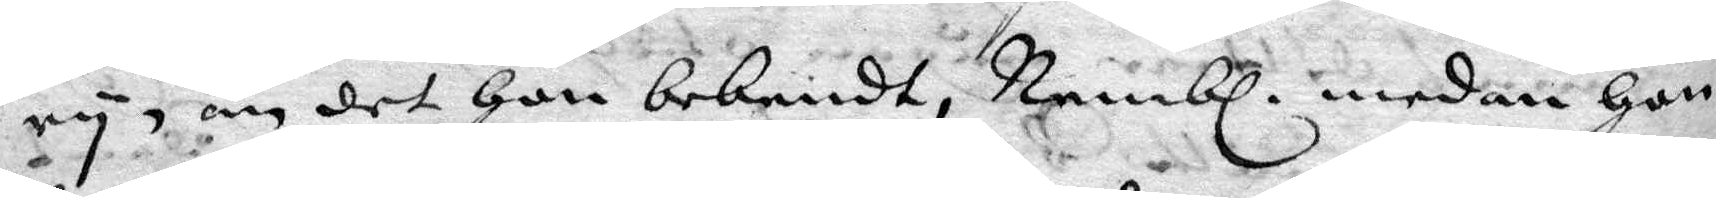ry, ändet hon bekendt, Nembl. medan hon
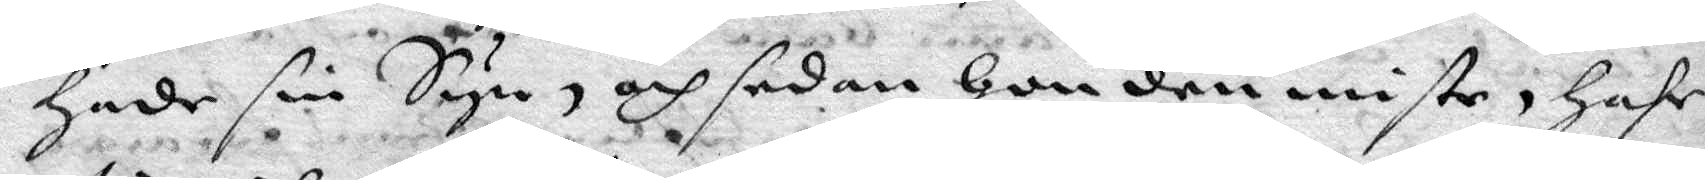hade sin Syn, och sedan hon den miste, hafr
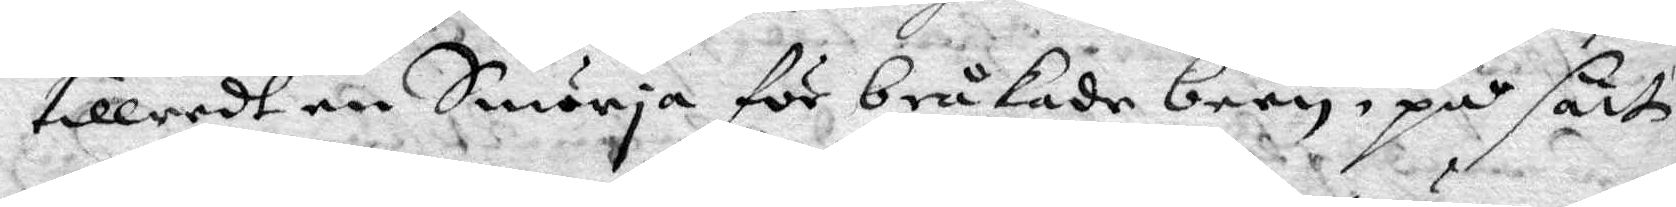tillredt en Smörja för bråkade barn, på sätt
